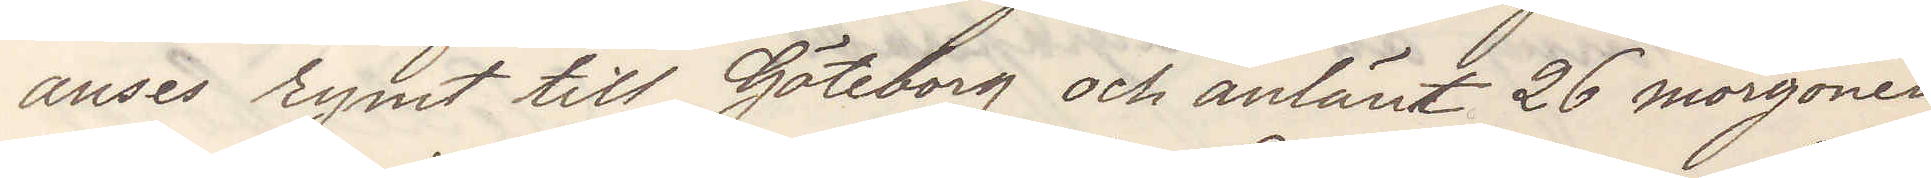anses rymt till Göteborg och anlänt 26 morgonen
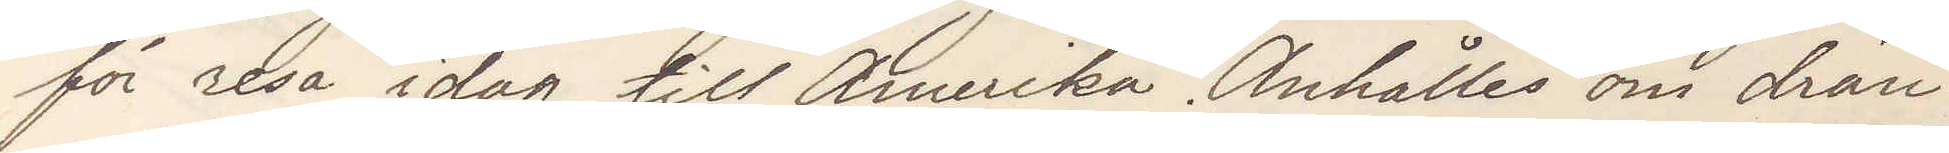för resa idag till Amerika. Anhålles om drän¬
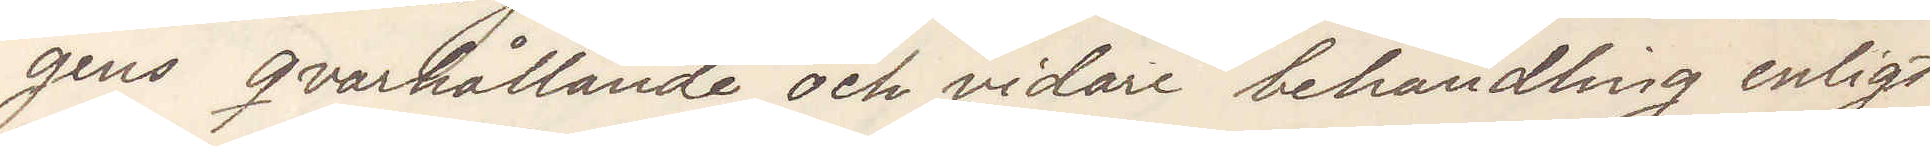gens qvarhållande och vidare behandling enligt
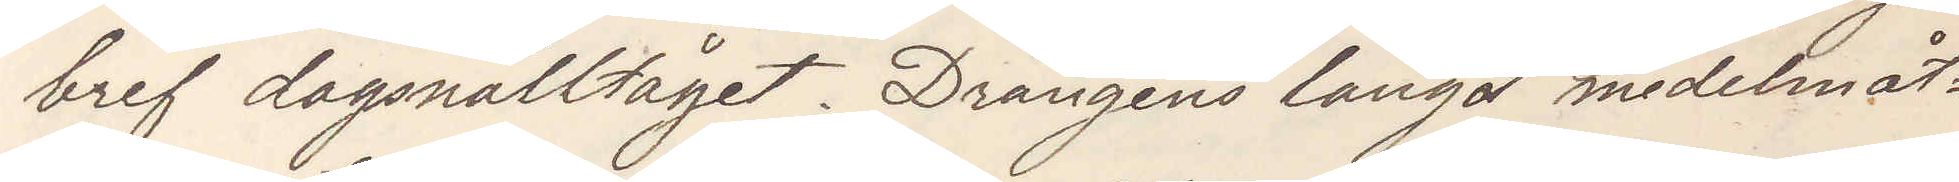bref dagsnälltåget. Drängens längd medelmåt¬
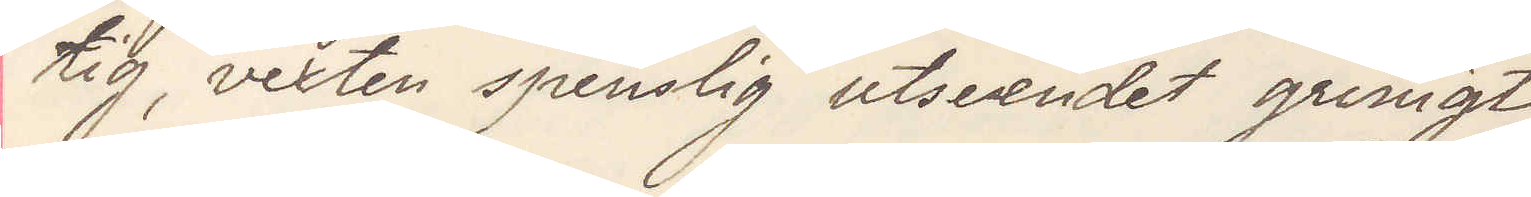tig vexten spenslig utseendet grinigt
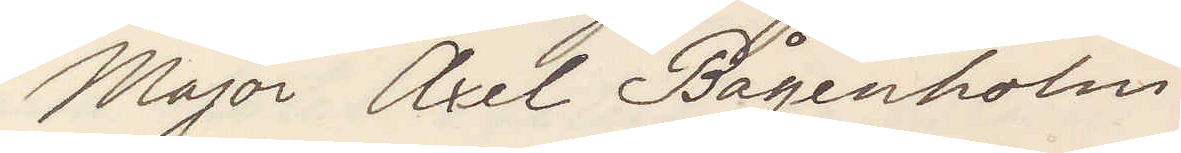Major Axel Bågenholm
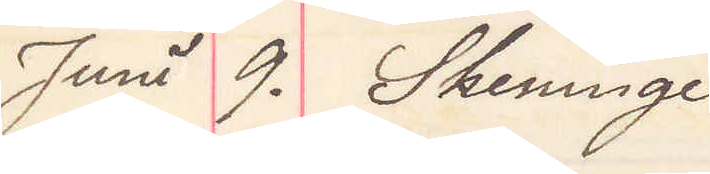Juni 9. Skeninge
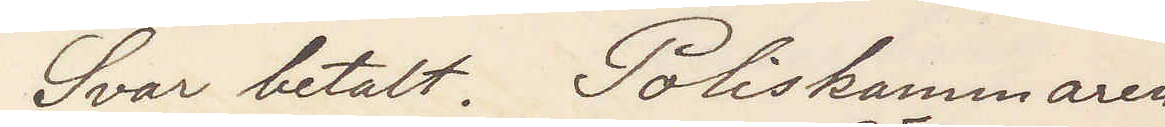Svar betalt. Poliskammaren
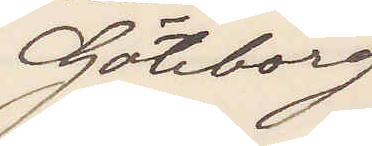Göteborg
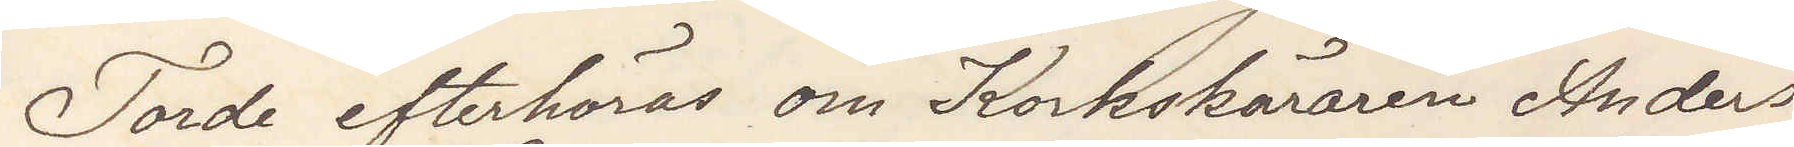Torde efterhöras om Korkskäraren Anders¬
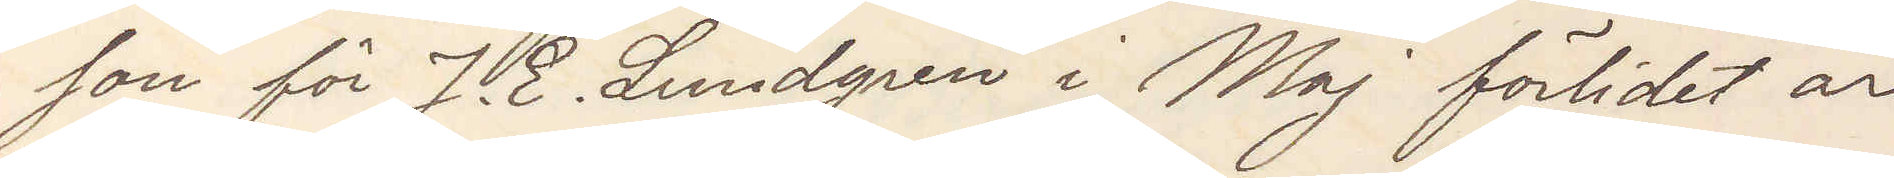son för J. E. Lundgren i Maj förlidet år
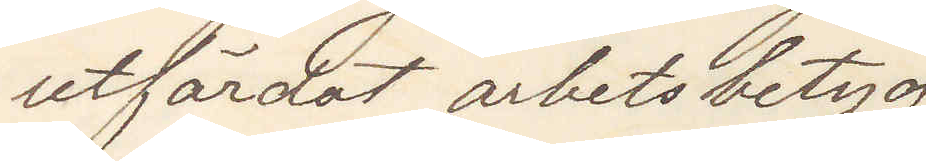utfärdat arbetsbetyg.
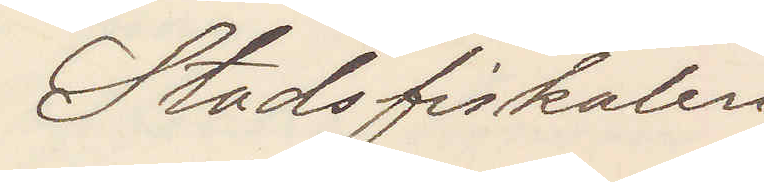Stadsfiskalen
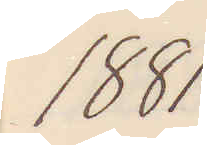1881
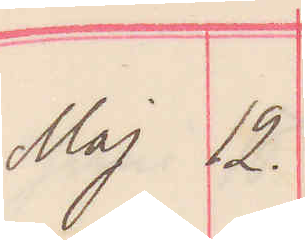Maj 12.
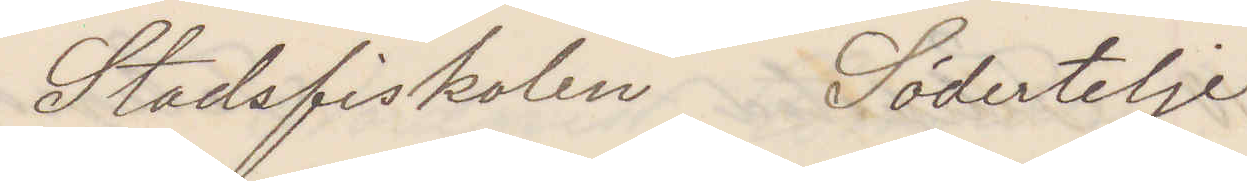Stadsfiskalen Södertelje
